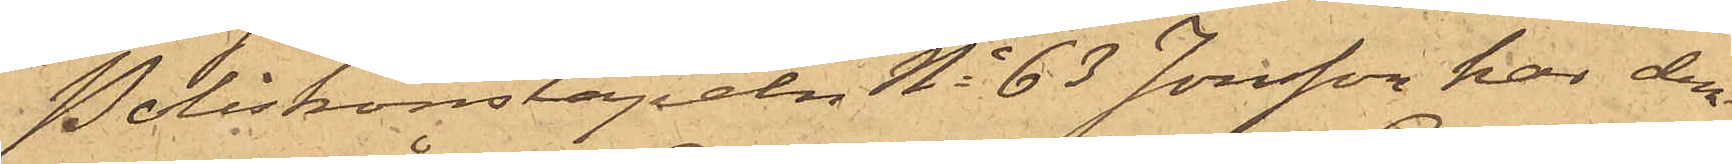Poliskonstapeln No 63 Jonsson har den
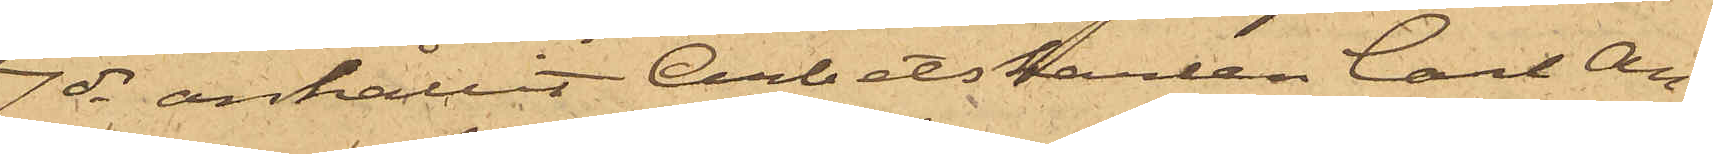7 ds anhållit Arbetskarlen Carl An¬
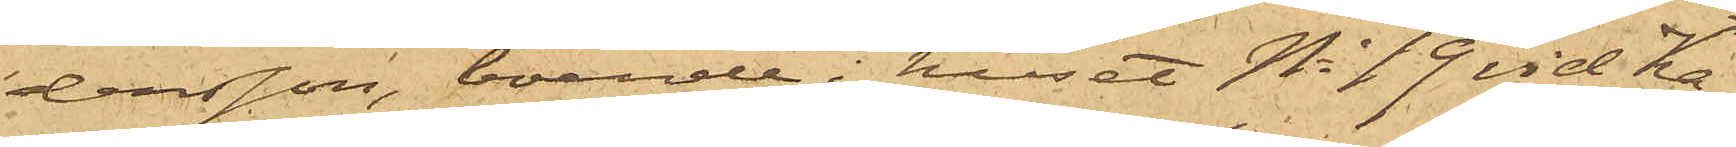dersson, boende i huset No 19 vid Ka¬
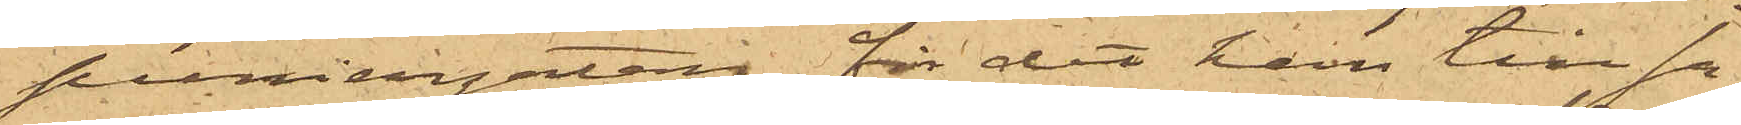poniersgatan, för det han till sa¬
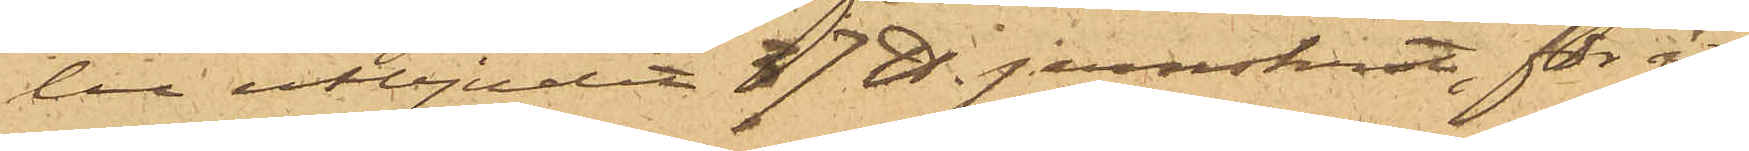lu utbjudit 37 ℔ jernskrot, för åt¬
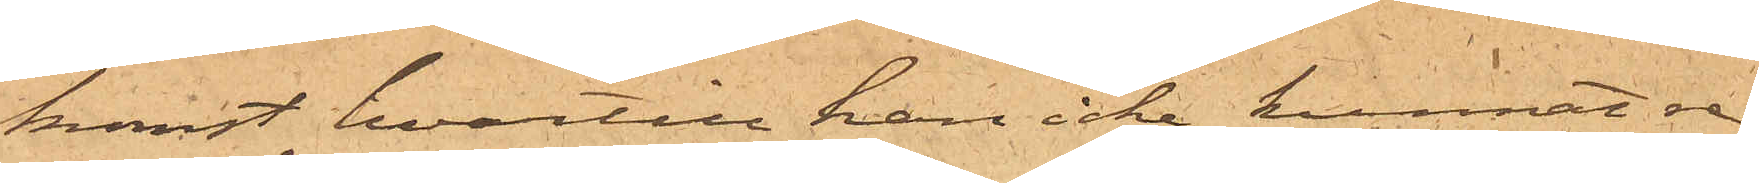komst hvartill han icke kunnat re¬
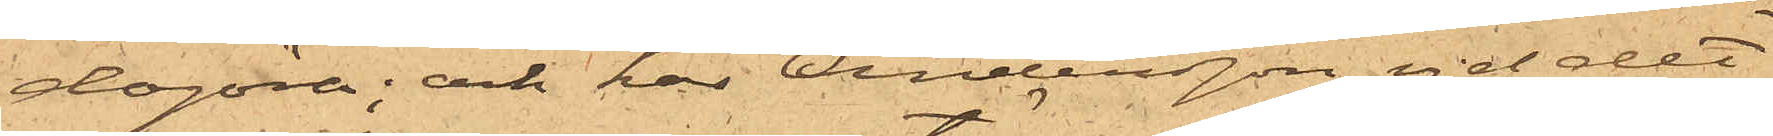dogöra; och har Andersson vid det
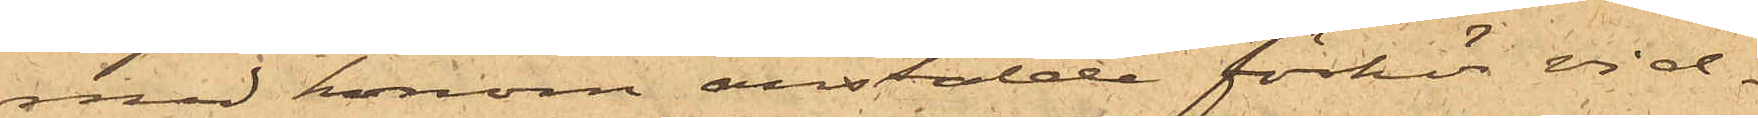med honom anstälde förhör vid¬
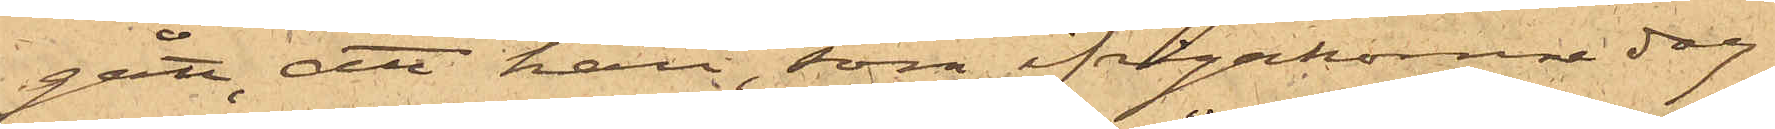gått, att han, som ifrågakomne dag
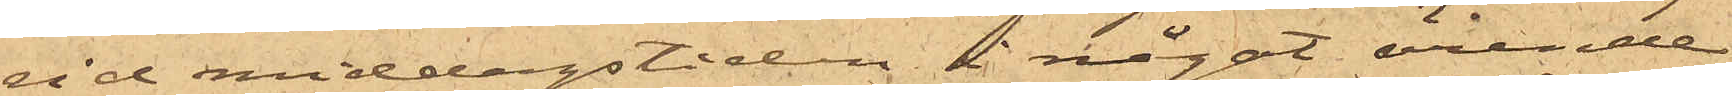vid middagstiden i något ärende
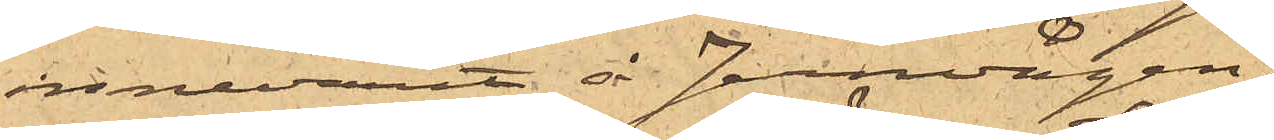innevarit å Jernvågen,
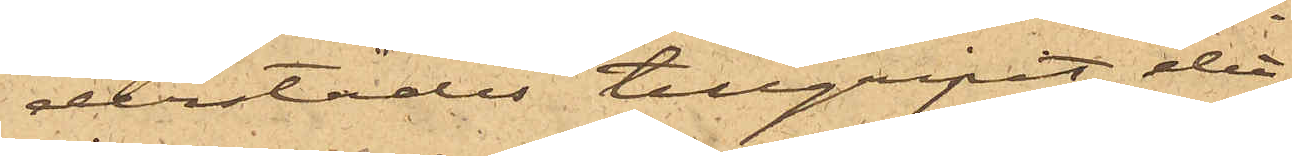derstädes tillgripit det
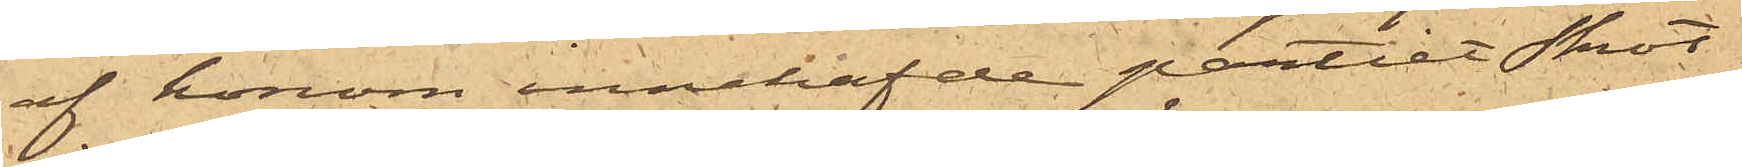af honom innehafde partiet skrot
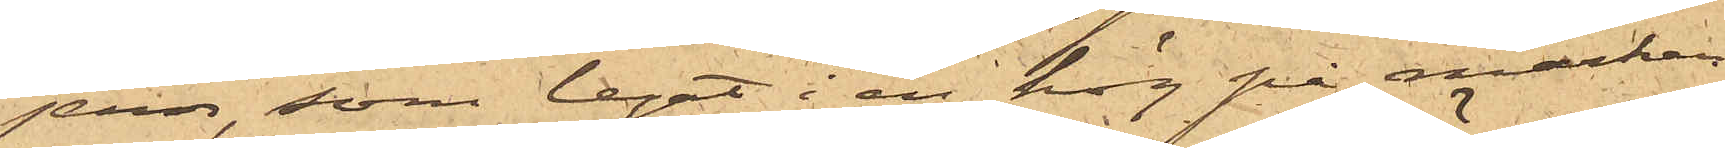jern, som legat i en hög på marken
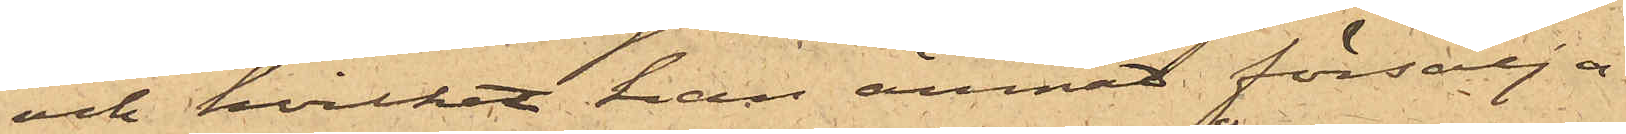och hvilket han ämnat försälja.
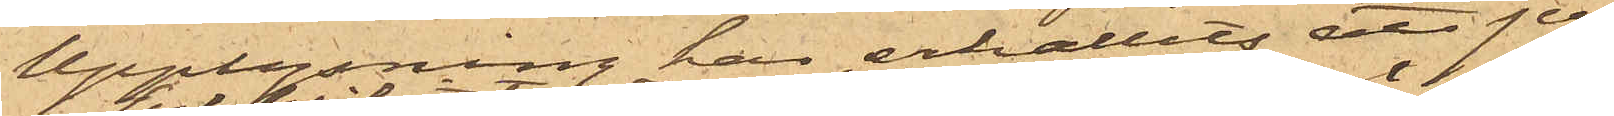Upplysning har erhållits att jer¬
